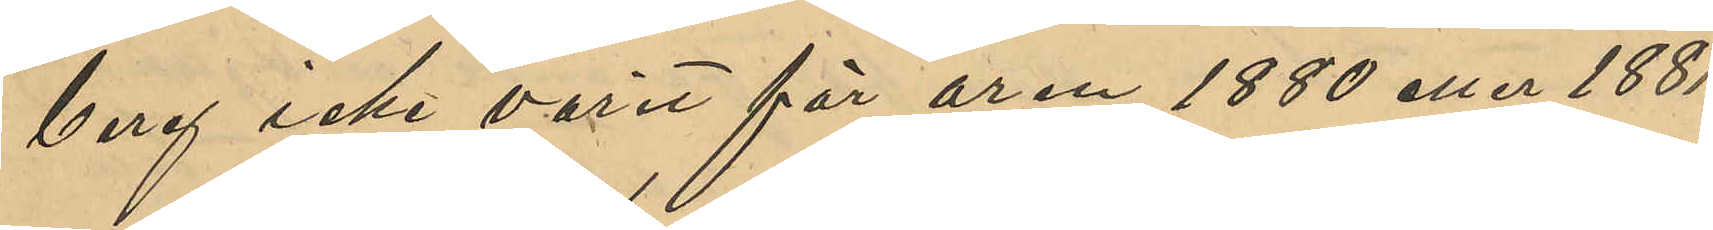berg icke varit för åren 1880 eller 1881
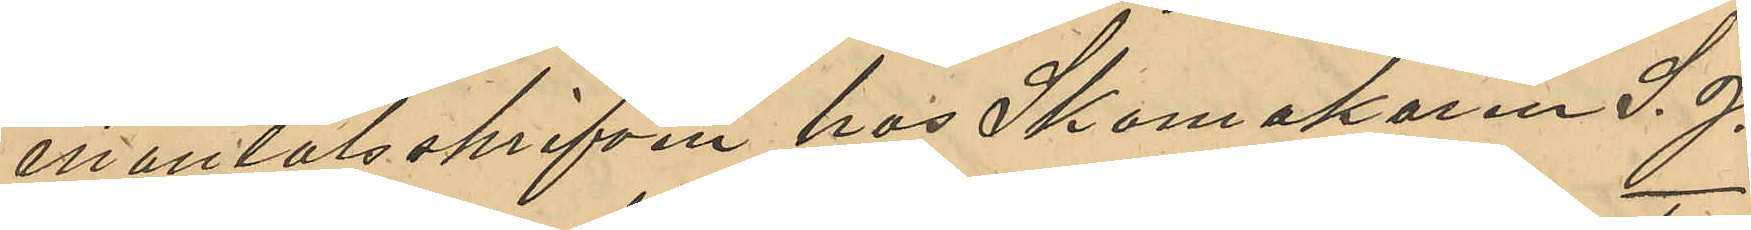mantalsskrifven hos Skomakaren S. J.
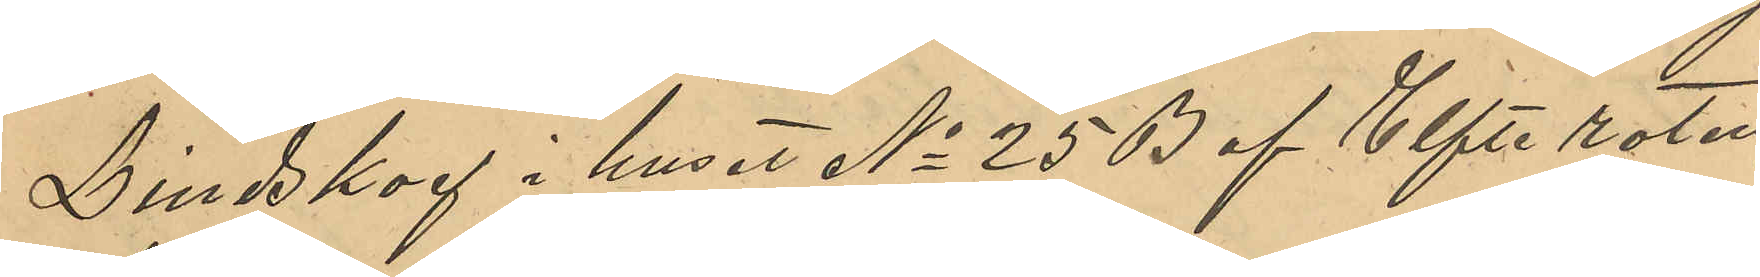Lindskog i huset No 25 B af Elfte roten
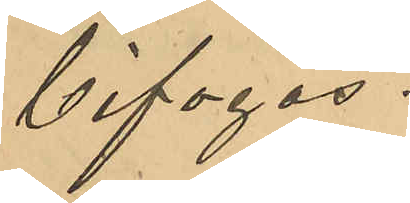bifogas.
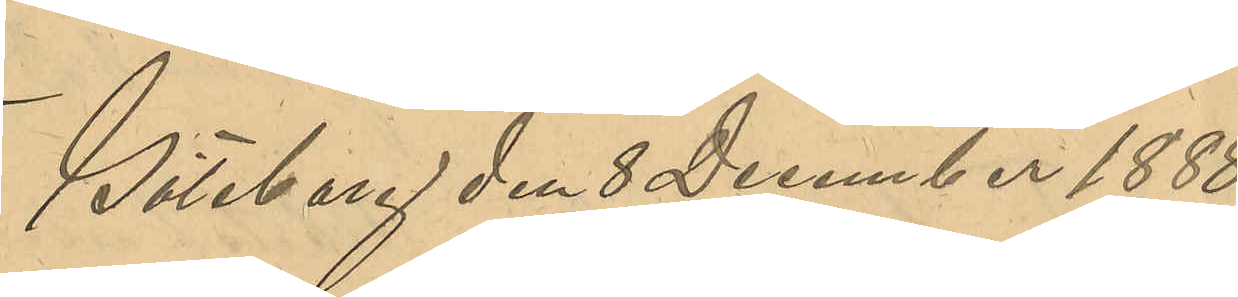Göteborg den 8 December 1888.
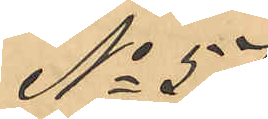No 57
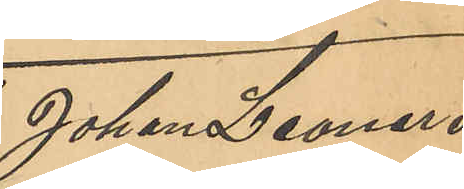Johan Leonard
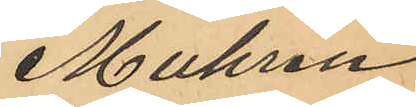Muhren.
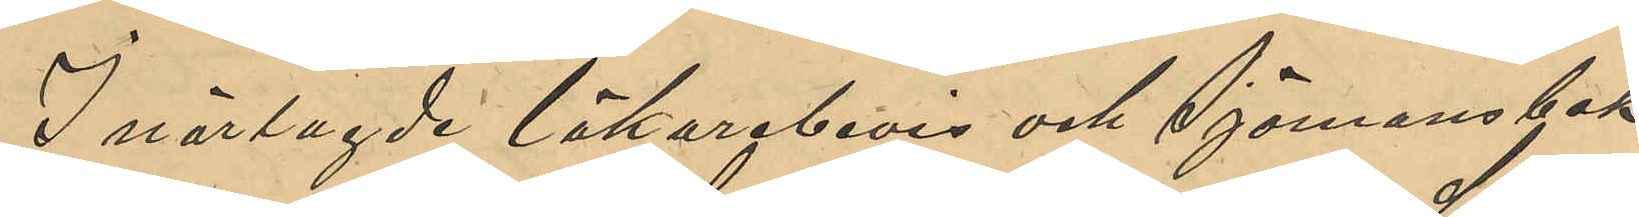I närlagde läkarebevis och Sjömansbok
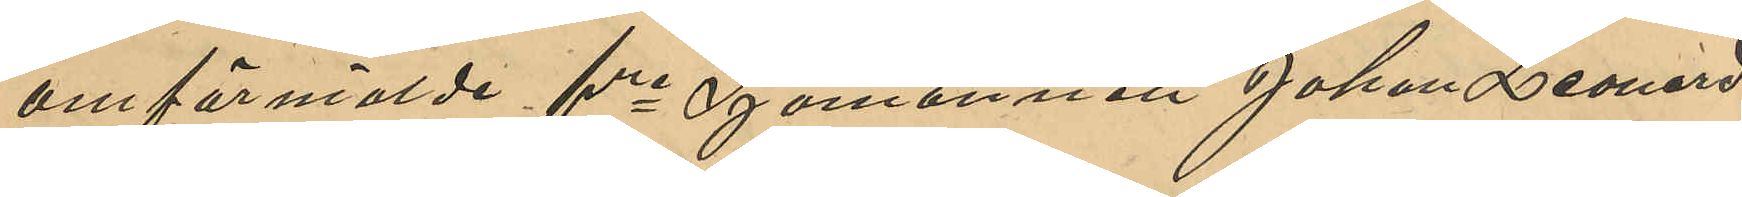omförmälde fre Sjömannen Johan Leonard
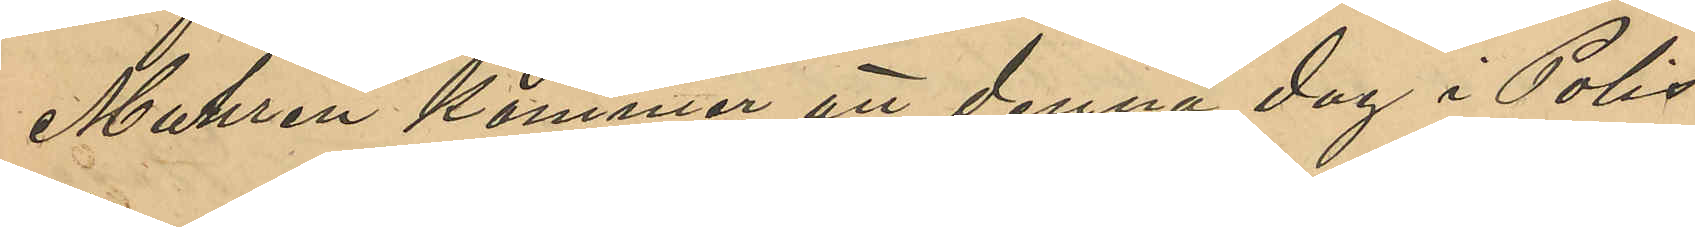Muhren kommer att denna dag i Polis¬
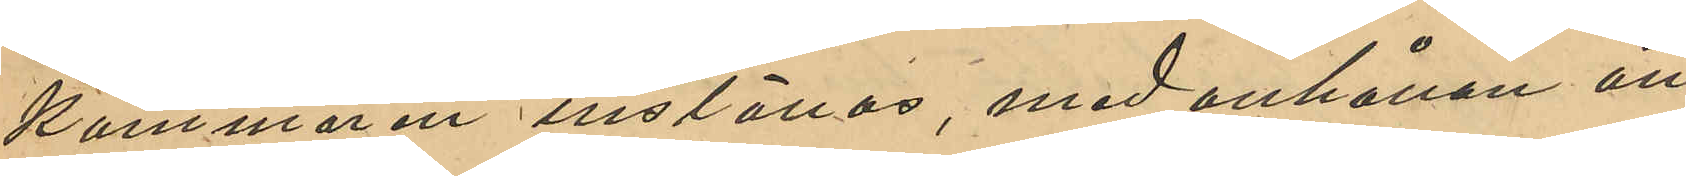kammaren inställas, med anhållan att
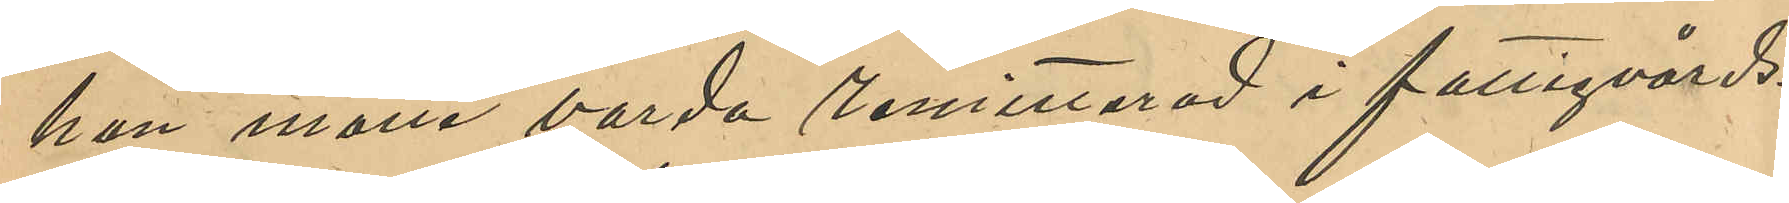han måtte varda remitterad i fattigvårds¬
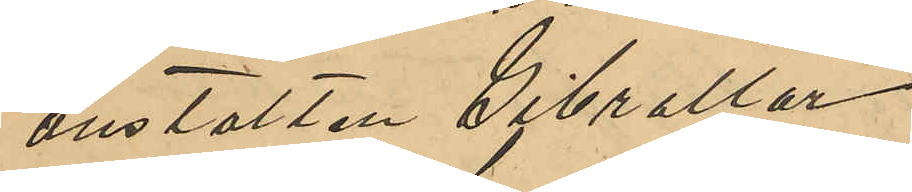anstalten Gibraltar.
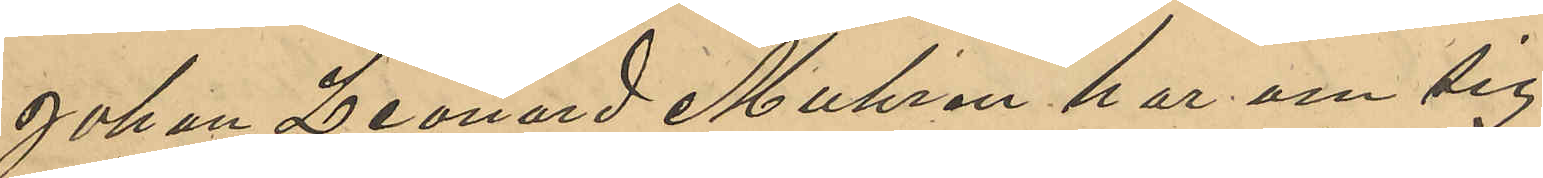Johan Leonard Muhren har om sig
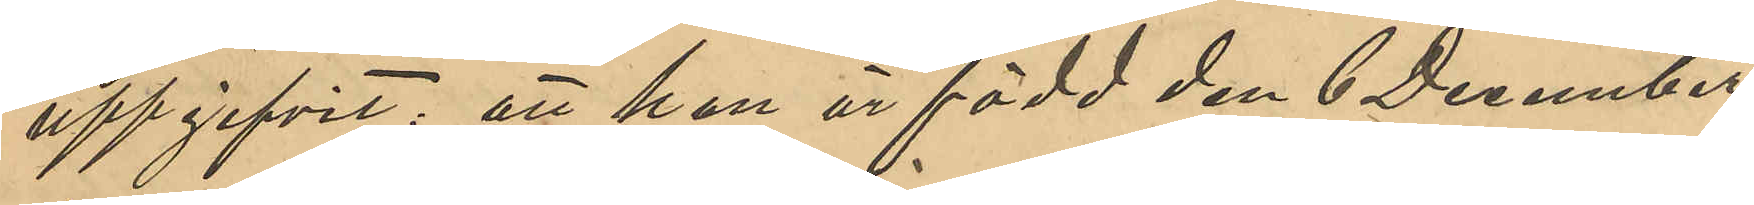uppgifvit, att han är född den 6 December
